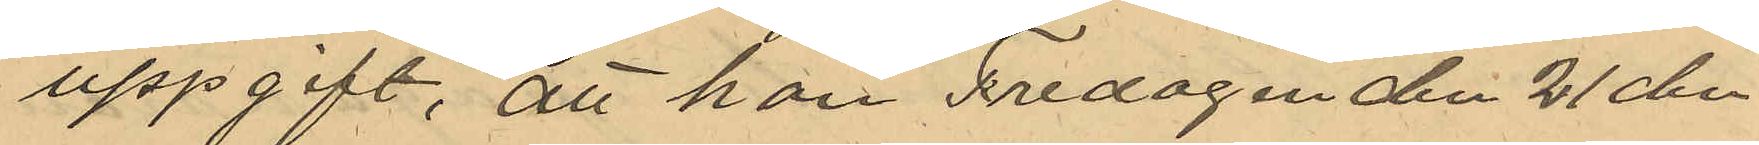uppgift, att han Fredagen den 21 den
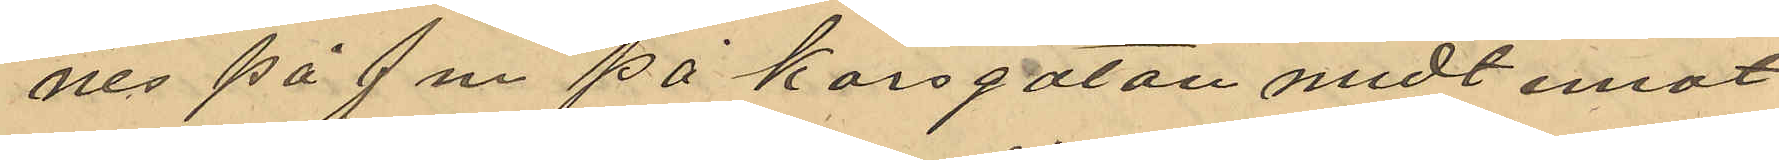nes på f.m. på Korsgatan midt emot
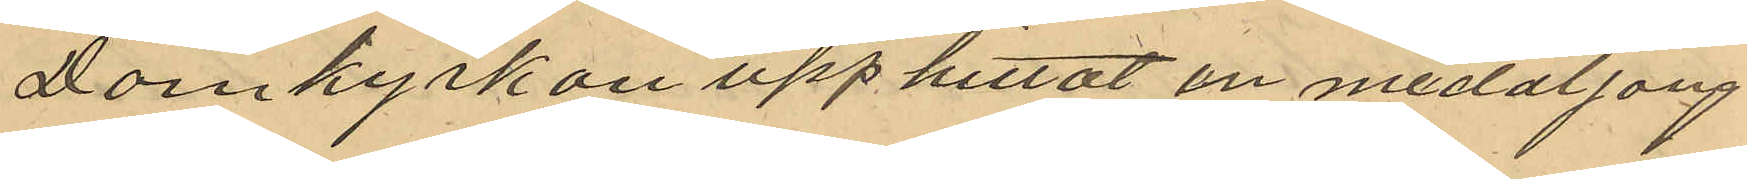Domkyrkan upphittat en medaljong
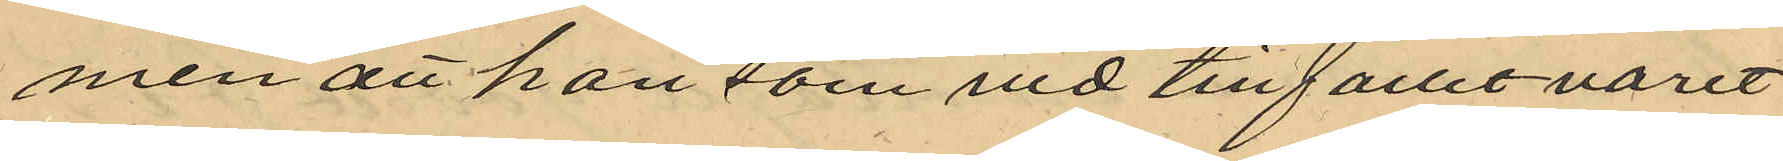men att han som vid tillfället varit
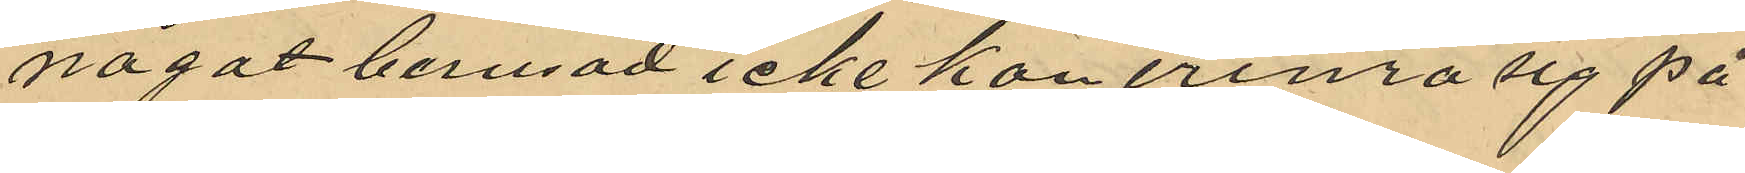något berusad icke kan erinra sig på
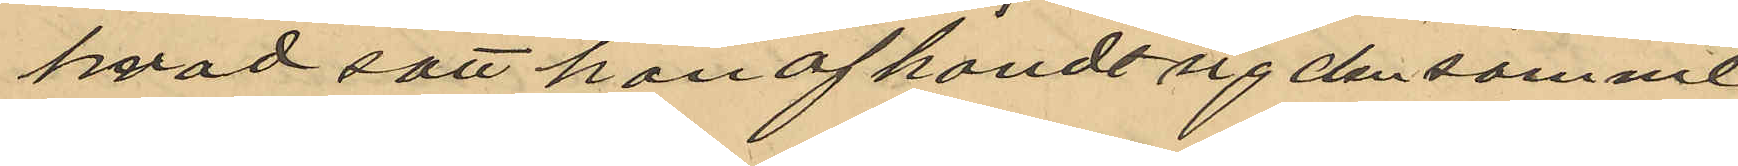hvad sätt han afhändt sig densamme
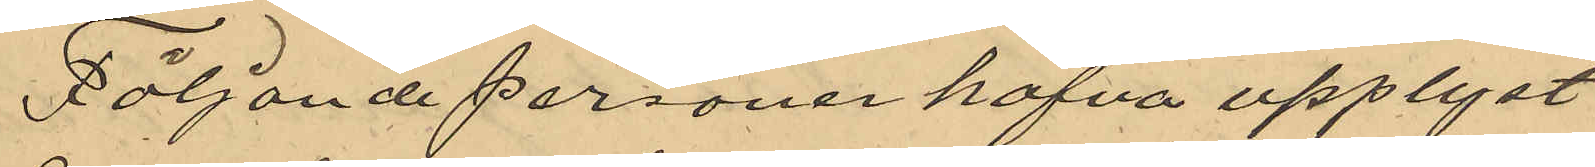Följande personer hafva upplyst
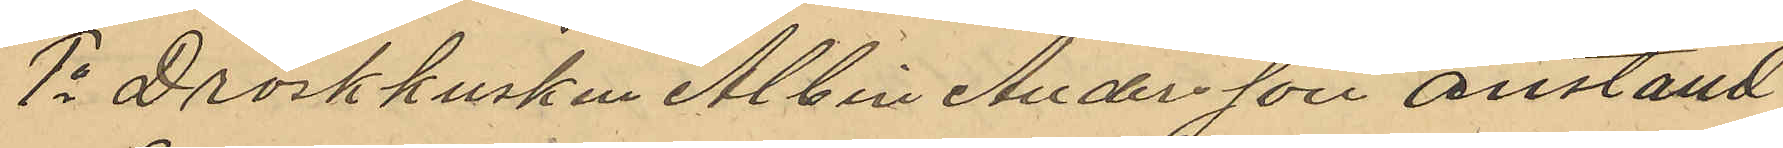1o Droskkusken Albin Andersson anställd
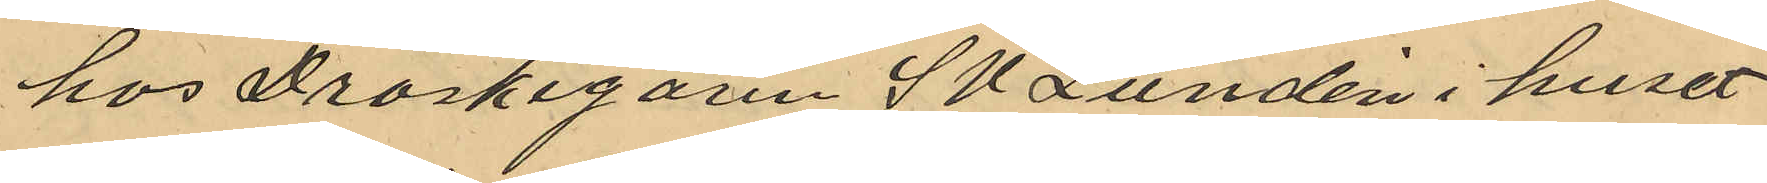hos Droskegaren S U Lundén i huset
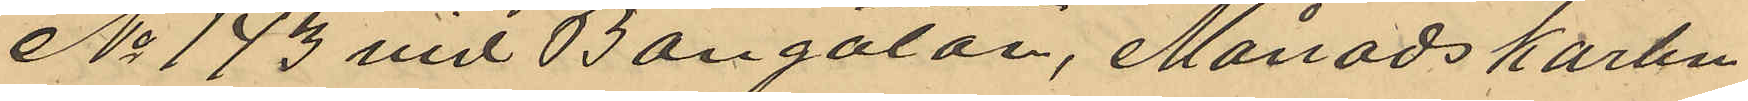No 173 vid Bangatan, Månadskarlen
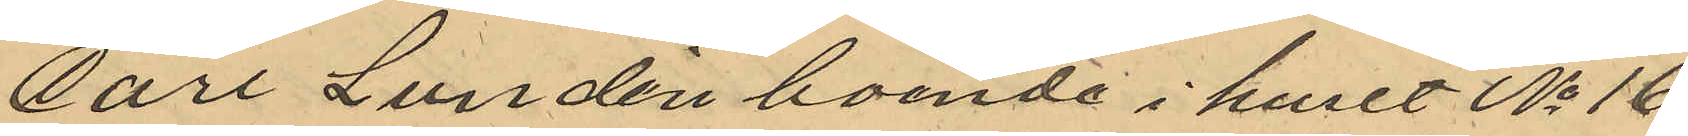Carl Lundén boende i huset No 16
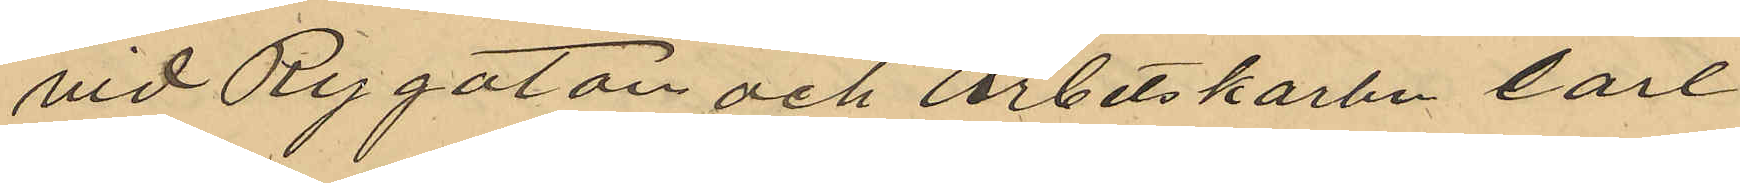vid Rygatan och Arbetskarlen Carl
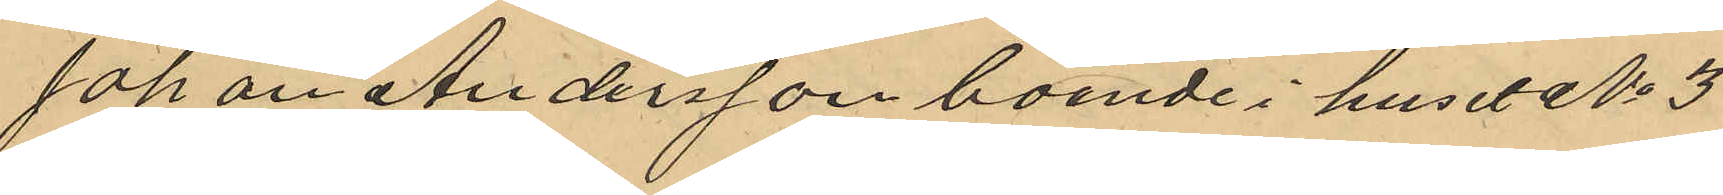Johan Andersson boende i huset No 3
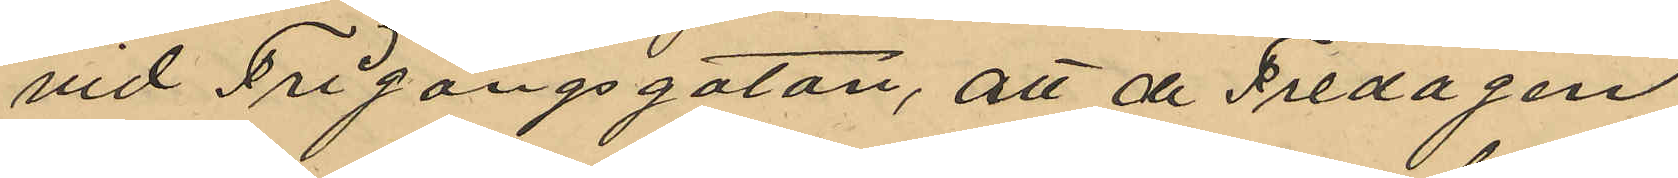vid Frigångsgatan, att de Fredagen
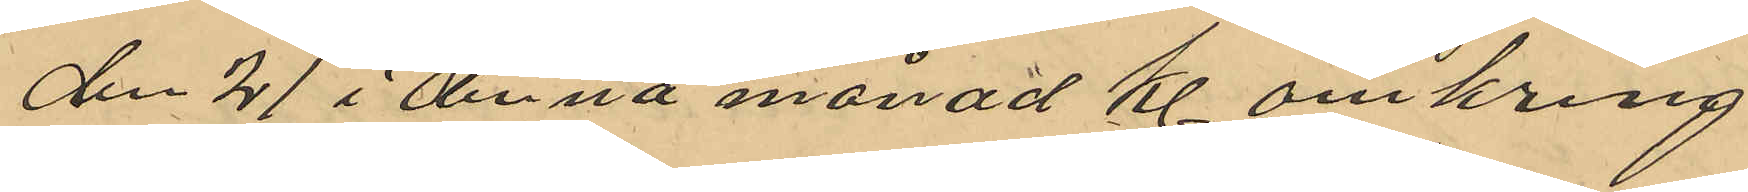den 21 i denna månad kl omkring
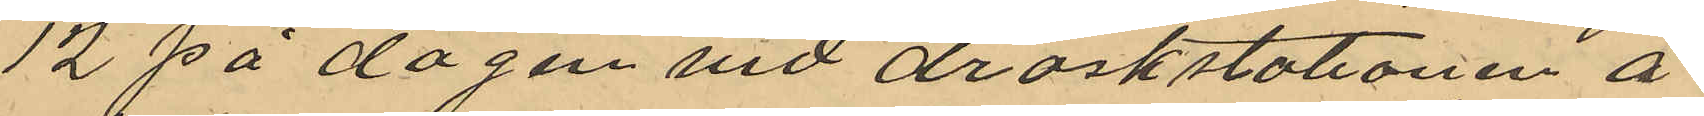12 på dagen vid droskstationen å
